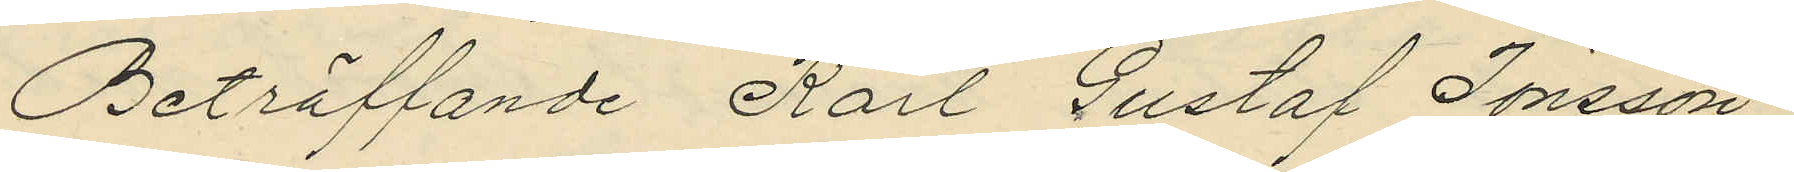Beträffande Karl Gustaf Jönsson,
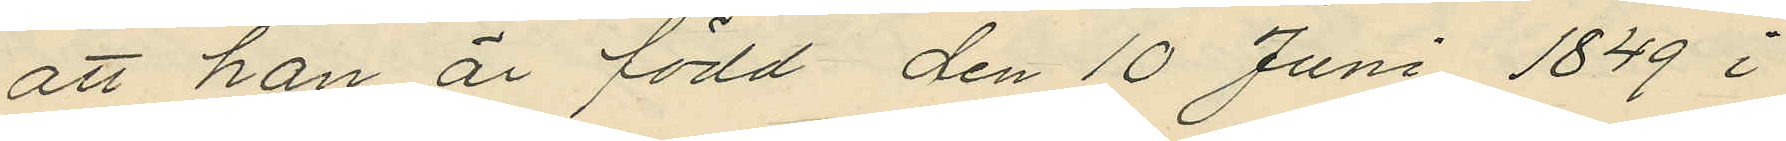att han är född den 10 Juni 1849 i
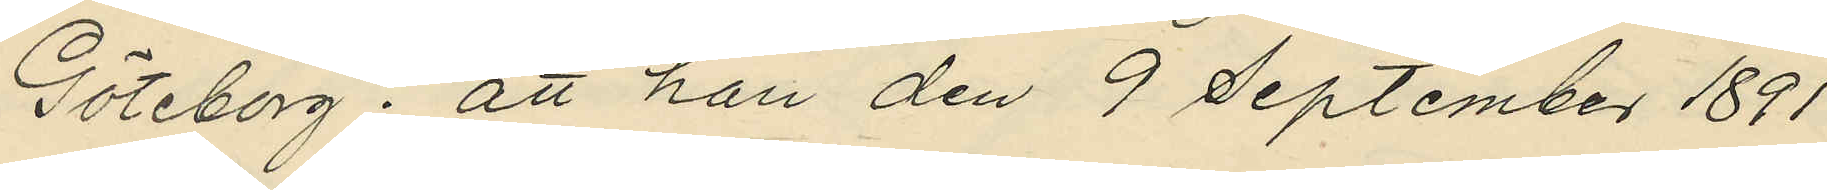Göteborg; att han den 9 September 1891
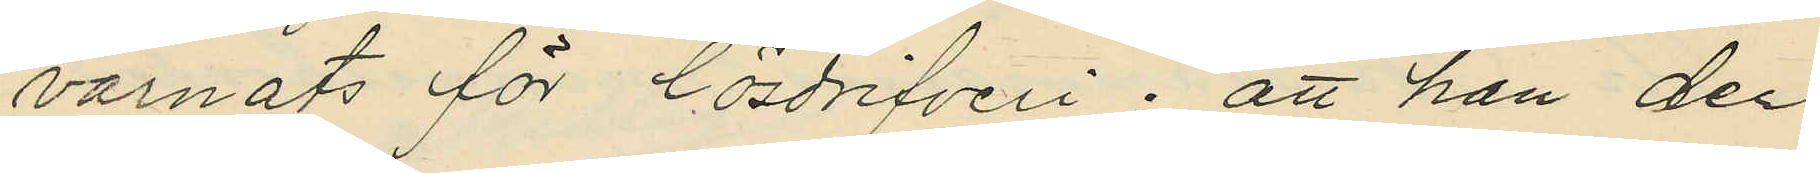varnats för lösdrifveri; att han den
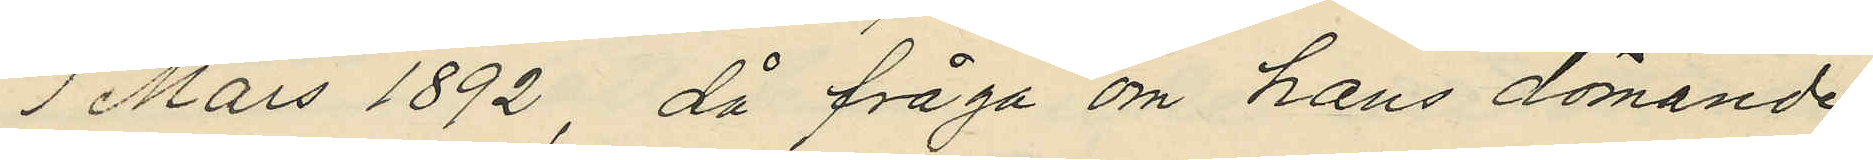1 Mars 1892, då fråga om hans dömande
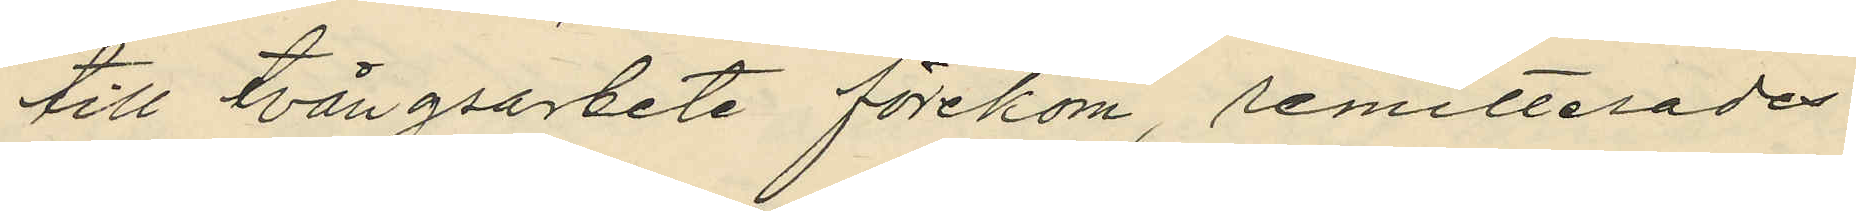till tvångsarbete förekom, remitterades
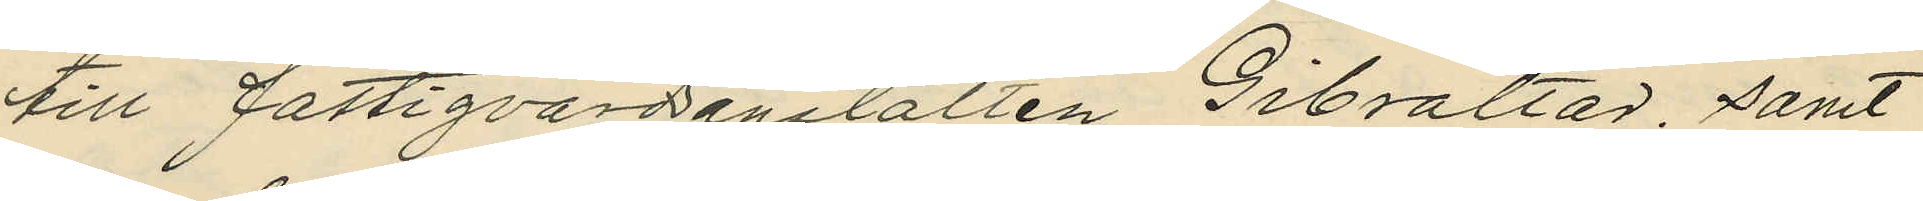till Fastigvårdanstalten Gibraltar; samt
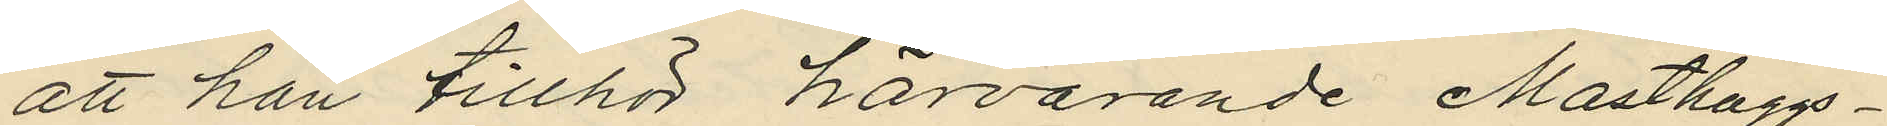att han tillhör härvarande Masthuggs¬
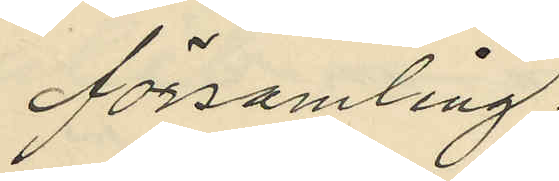församling.
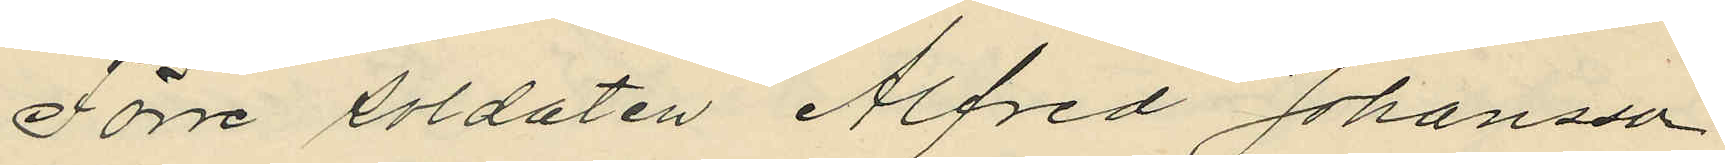Förre soldaten Alfred Johansson
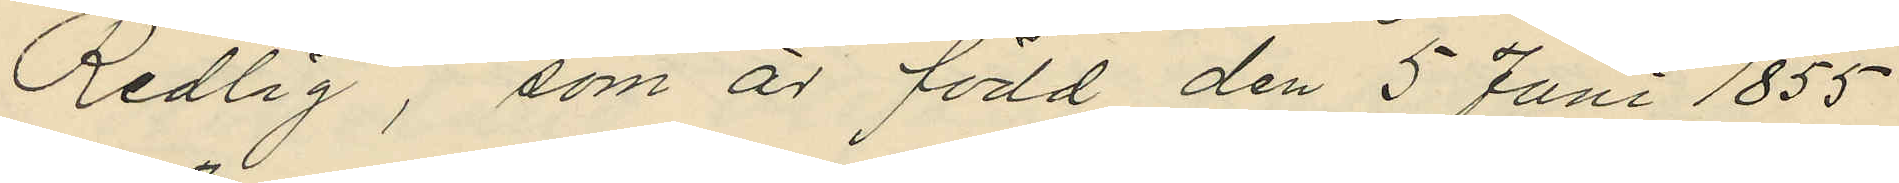Redlig, som är född den 5 Juni 1855
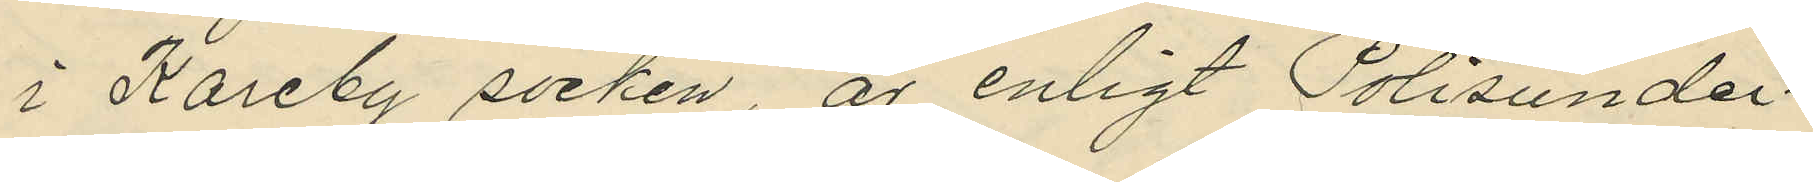i Kareby socken, är enligt Polisunder¬
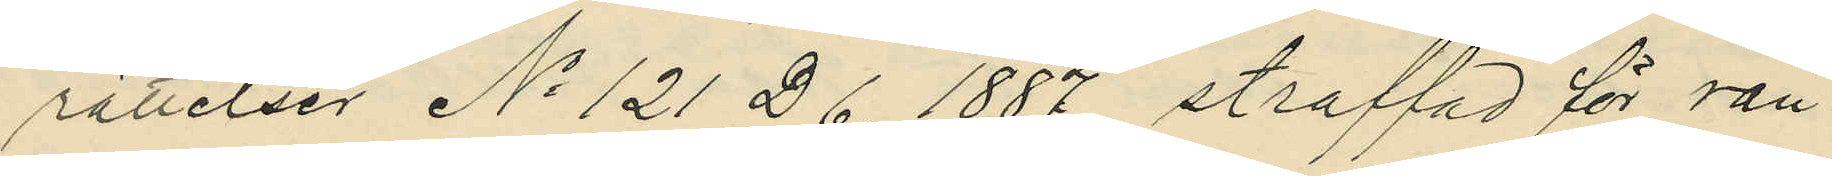rättelser No 121 D 6. 1887 straffad för rån.
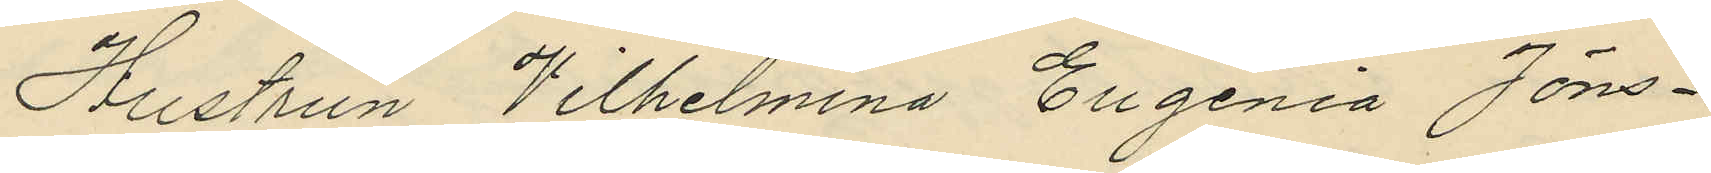Hustrun Wilhelmina Eugenia Jöns¬
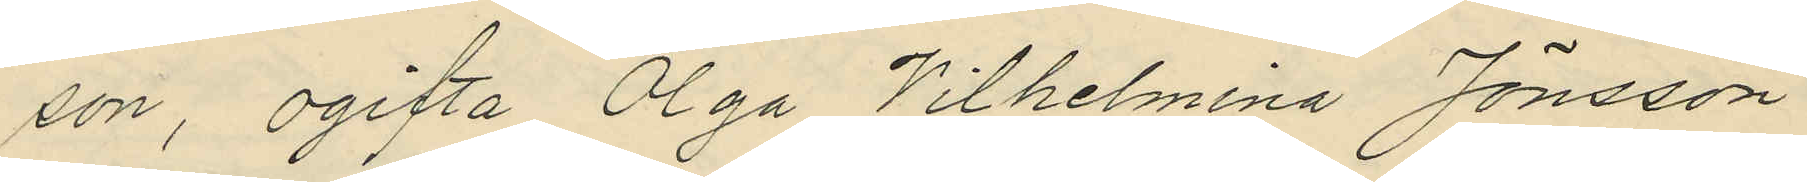son, ogifta Olga Wilhelmina Jönsson
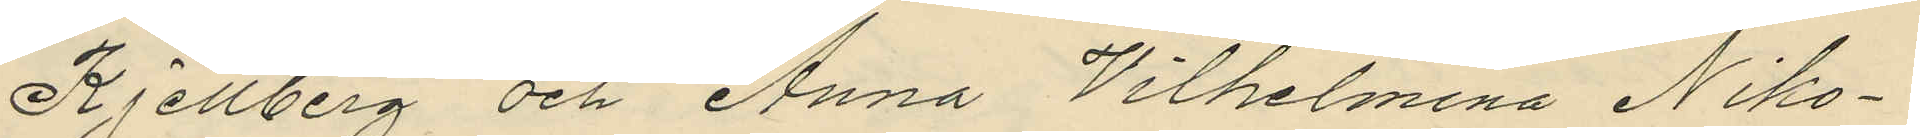Kjellberg och Anna Wilhelmina Niko¬
